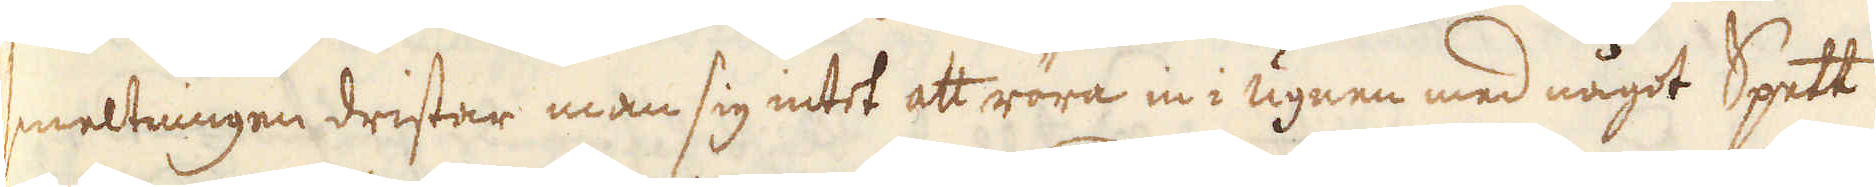smeltningen dristar man sig intet att röra in i ugnen med något Spett
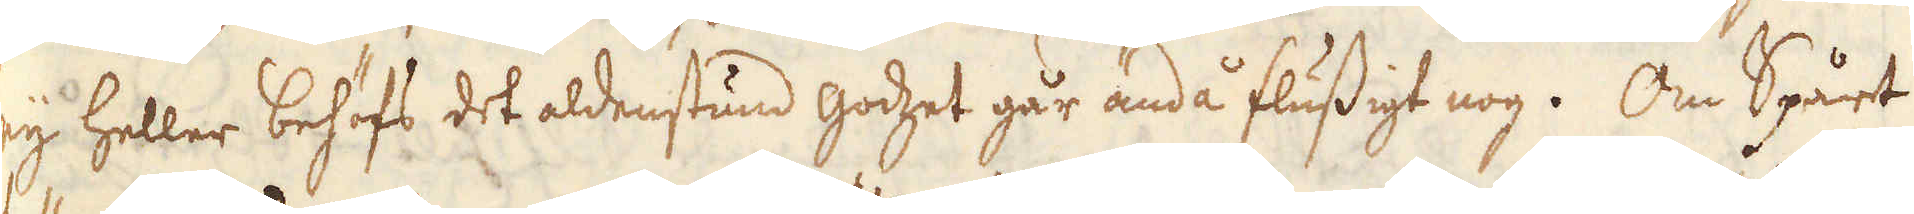eij heller behöfs det aldenstund godzet går ändå flussigt nog. Om Spårt
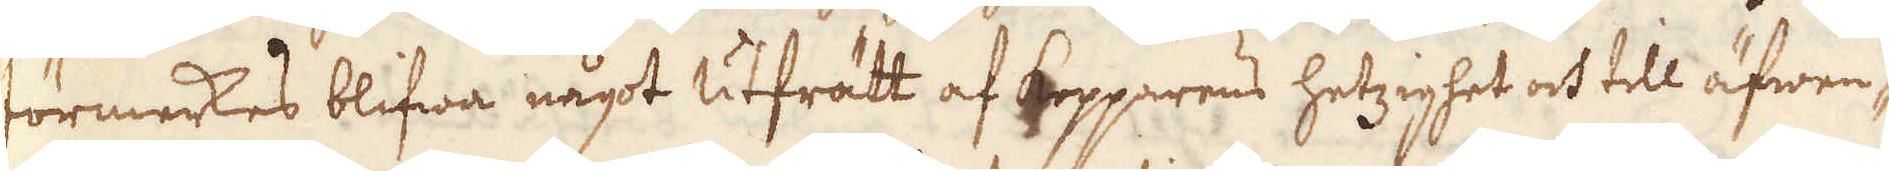förmerkes blifwa något utfrätt af kopparens hetzighet och till äfwen-
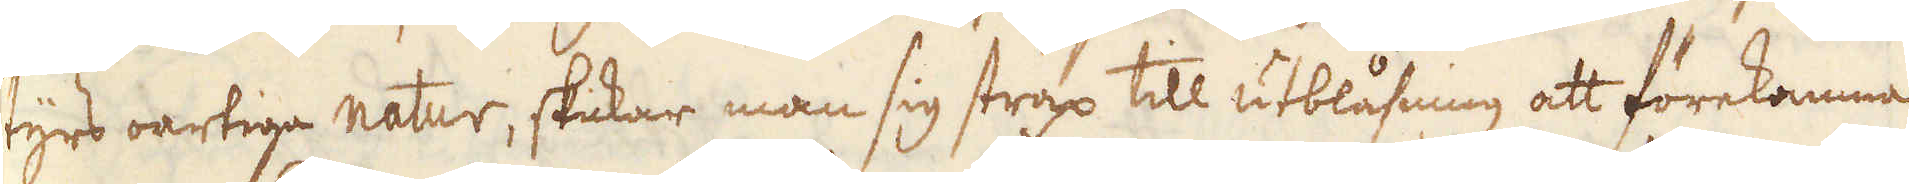tyrs oartiga natur, skickar man sig strax till utblåsning att förekomma
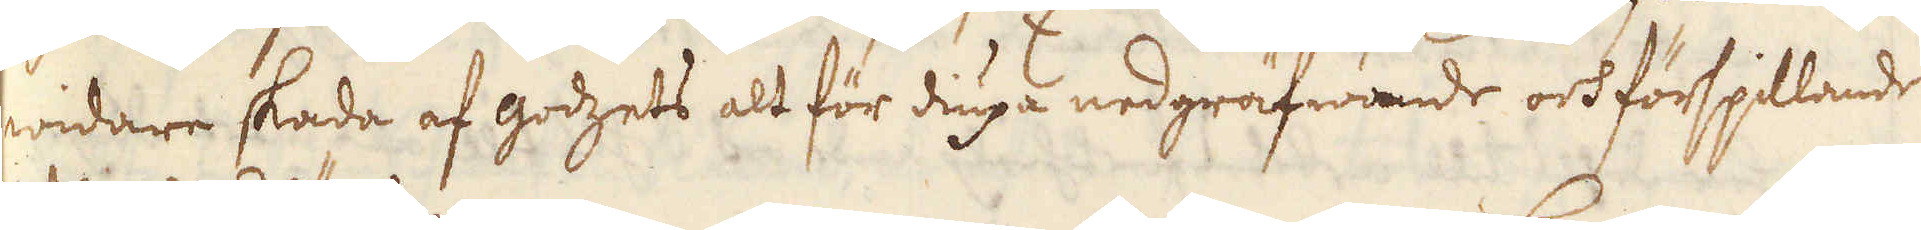widare skada af godzets alt för diupa nedgräfwande och förspillande
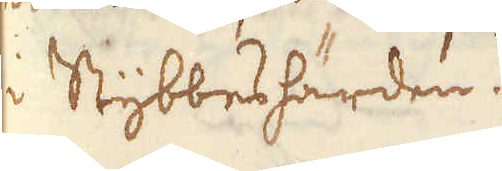i Stybbeshärden.
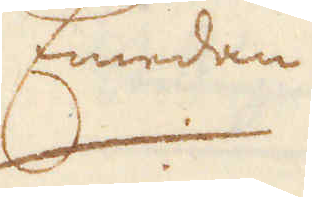Emedan
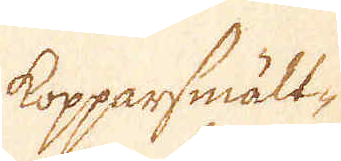Kopparsmält-
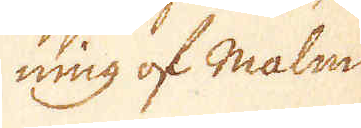ning of Malm
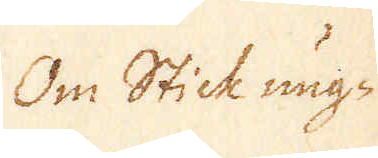Om Stick ung-
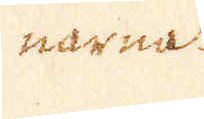narna.
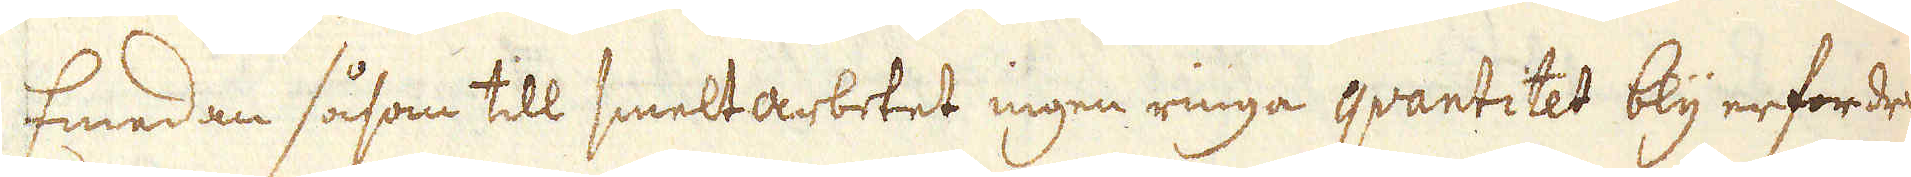Emedan såsom till smeltarbetet ingen ringa qvantitet bly erfordras
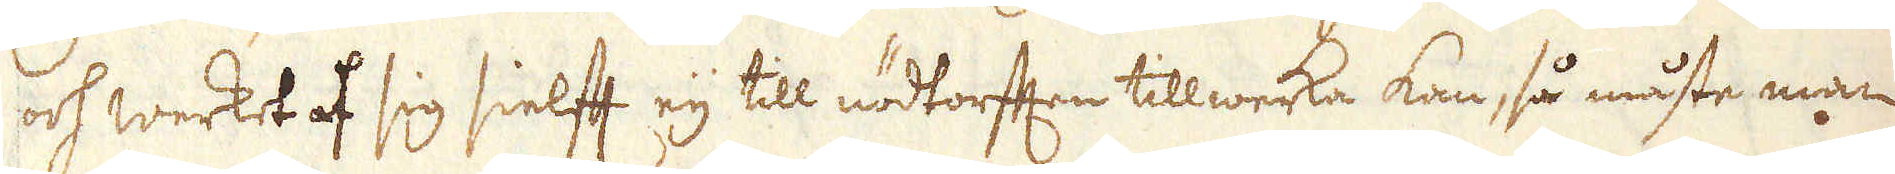och werket af sig sielft eij till nödtorften tillwerka kan, så måste man
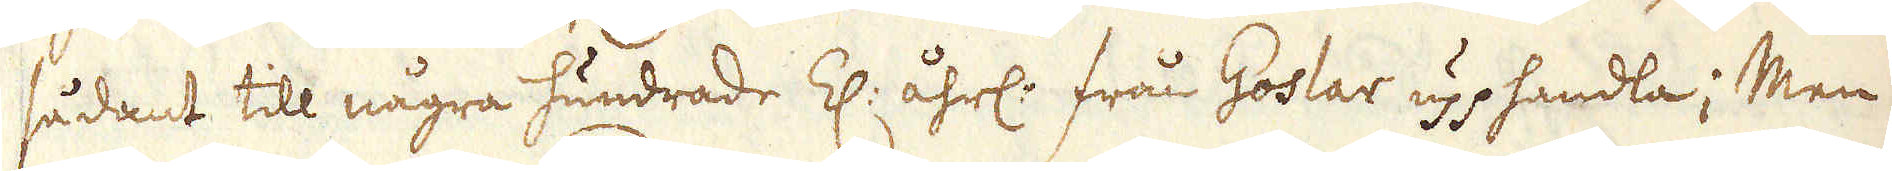sådant till några hundrade Z: åhrl: från Goslar upphandla; Men
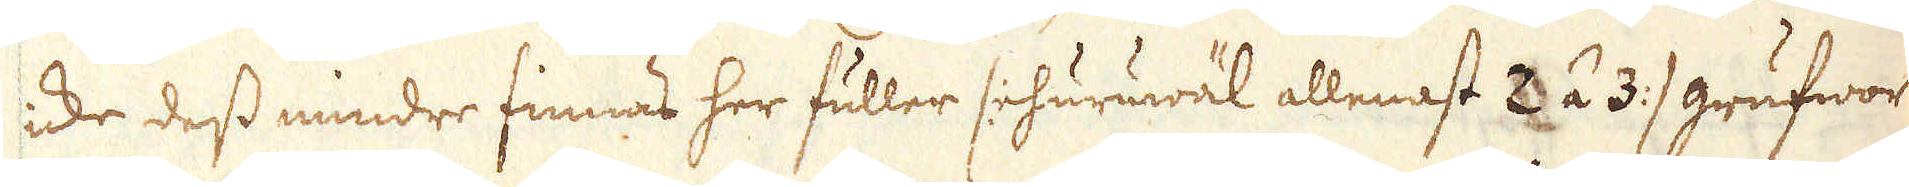icke dess mindre finnas her fuller /: ehuruwäl allenast 3 á 3 :/ grufwor
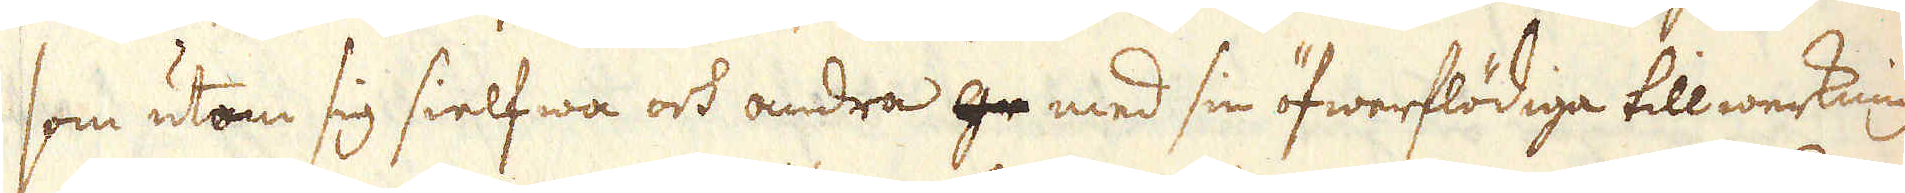som utom sig sielfwa och andra ge med sin öfwerflödiga tillwerkning
